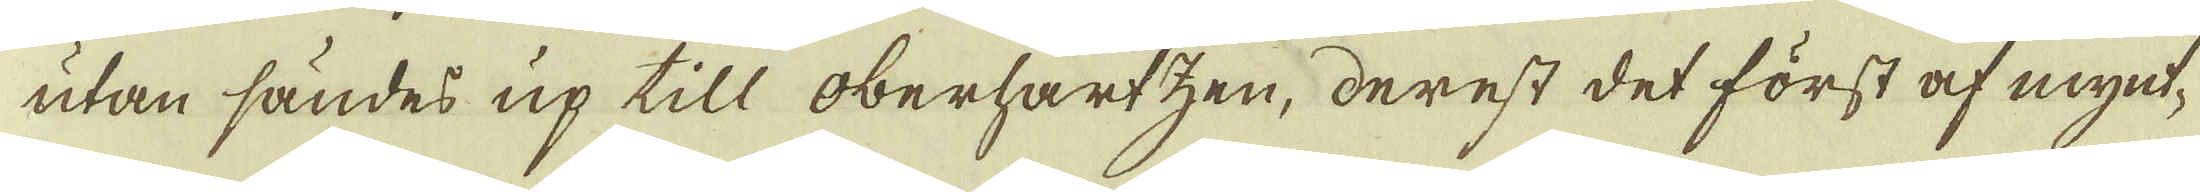utan sändes up till oberhartzen, derest det först af mynt-
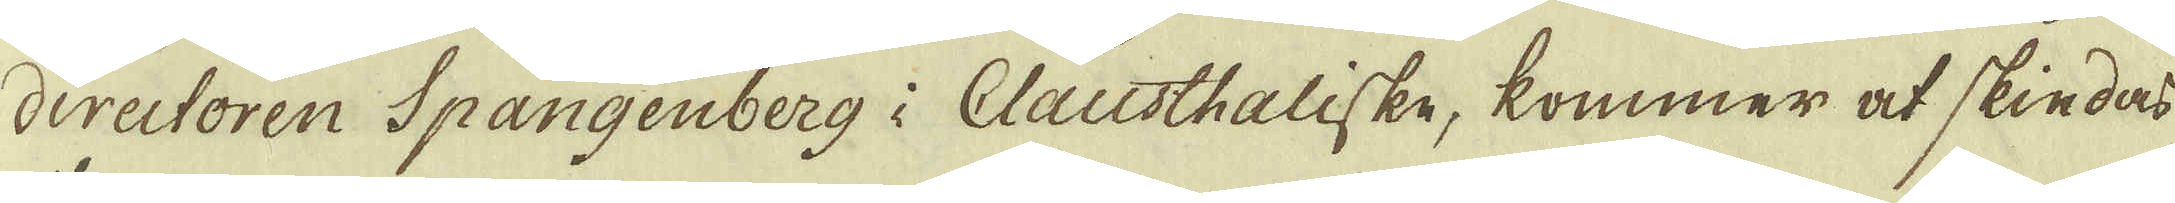directoren Spangenberg i Clausthaliske, kommer at skiedas
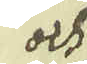och
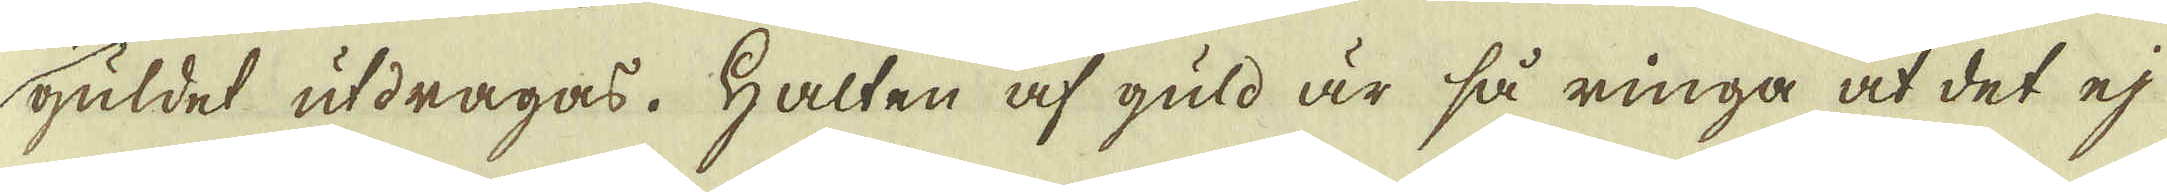guldet utdragas. Halten af guld är så ringa at det ej
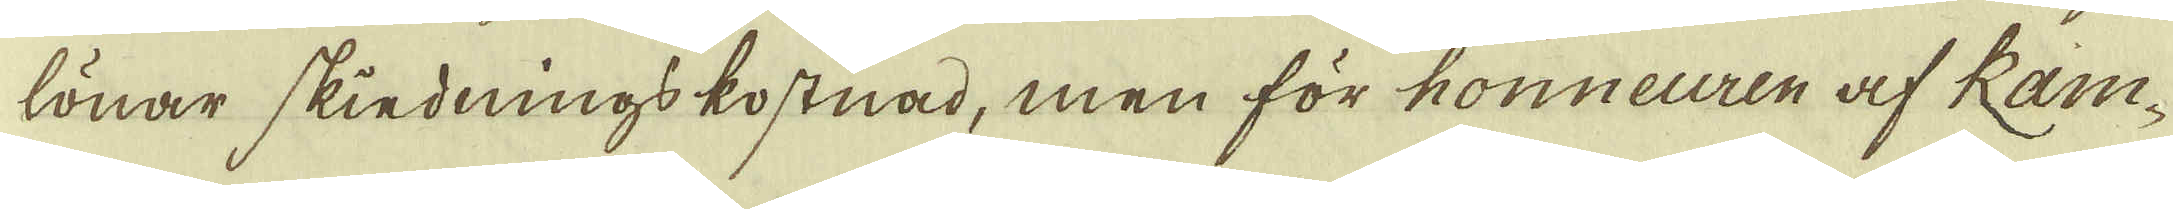lönar skiednings kostnad, men för honneuren af Ram-
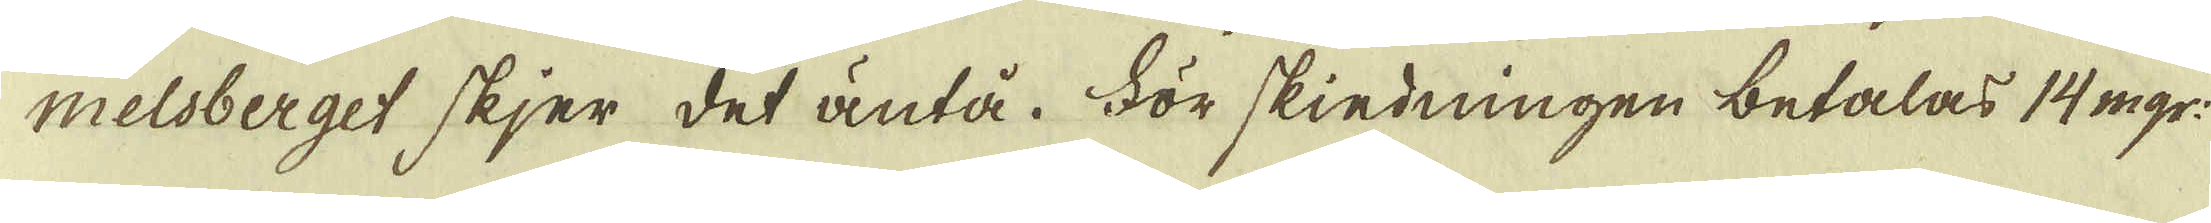melsberget skjer det äntå. För skiedningen betalas 14 mgr:
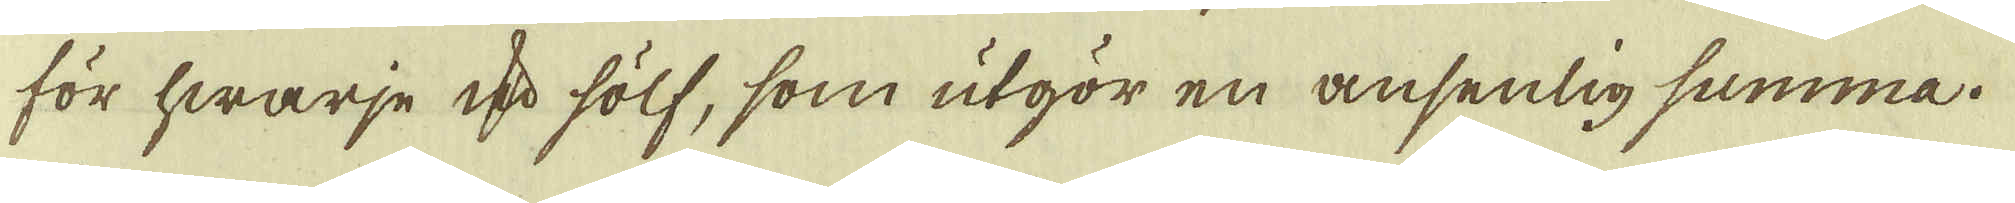för hwarje qv:r sölf, som utgör en ansenlig summa.
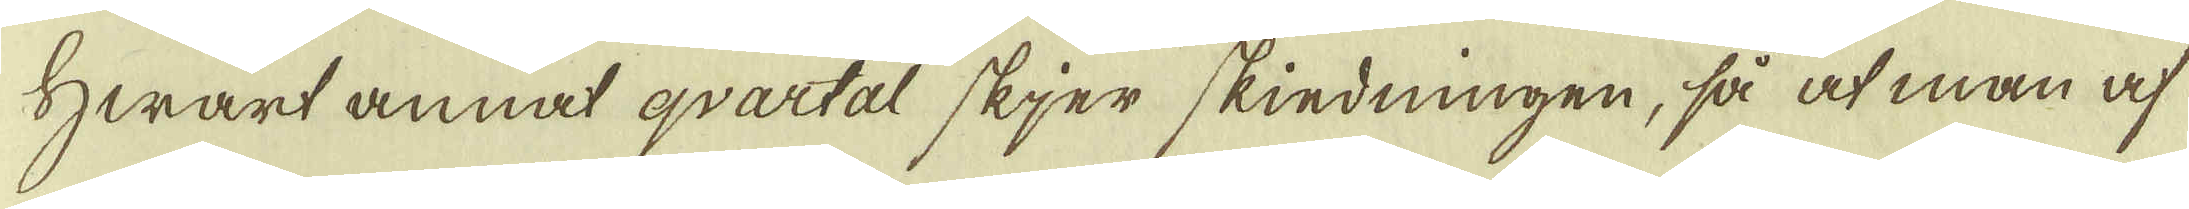Hwart annat qvartal skjer skiedningen, så at man af
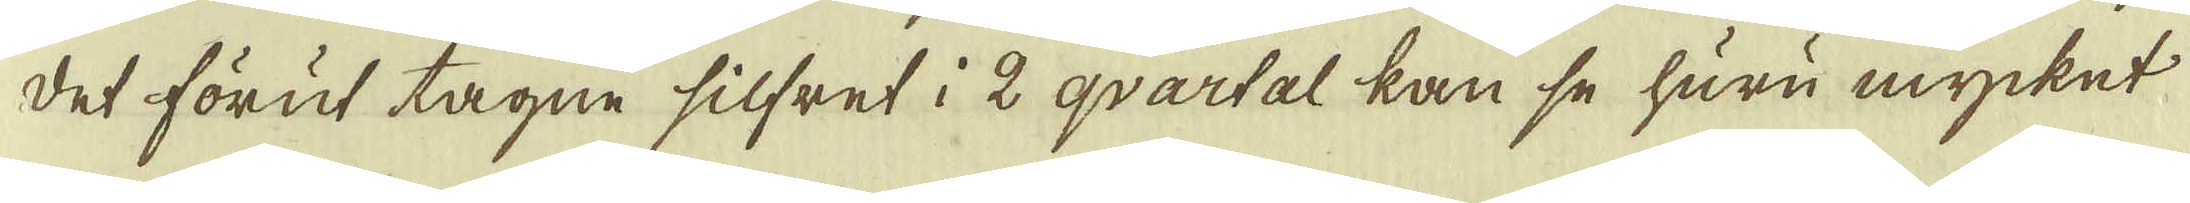det förut tagne silfret i 2 qvartal kan se huru mycket
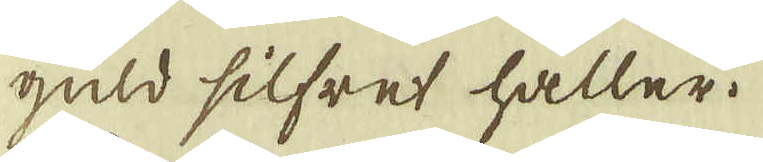guld silfret håller.
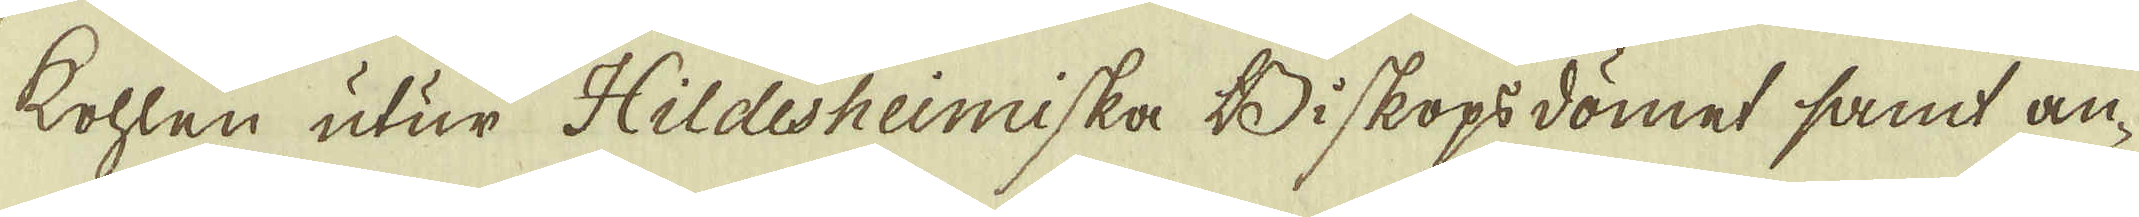Kohlen utur Hildesheimiska Biskopsdömet samt an-
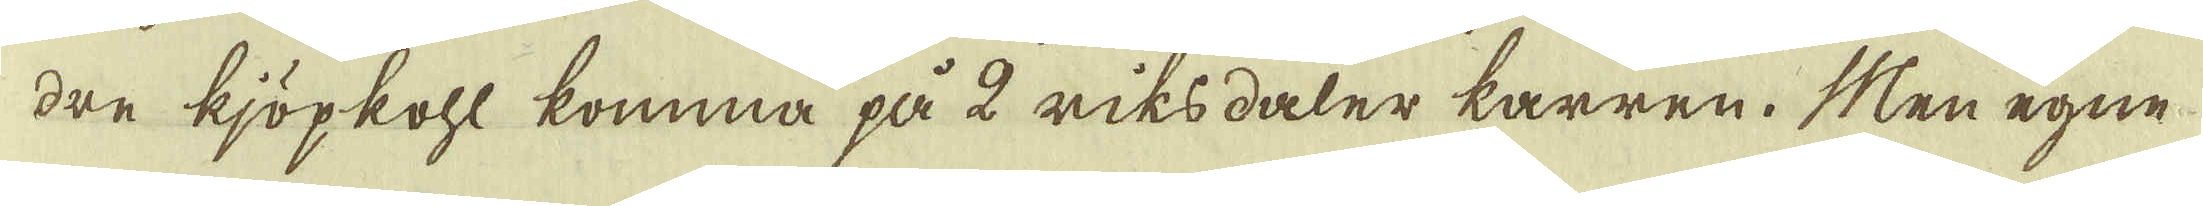dre kjöpkohl komma på 2 riksdaler karren. Men egne
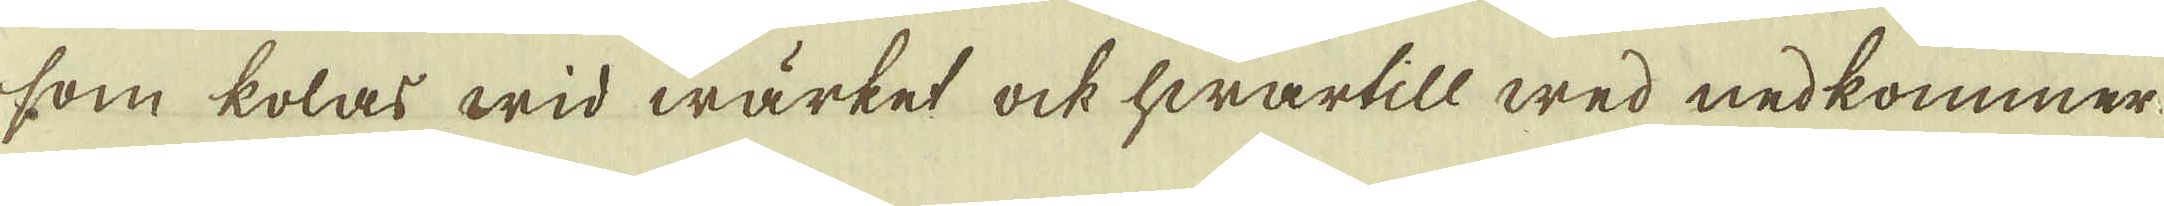som kolas wid wärket ock hwartill wed nedkommer
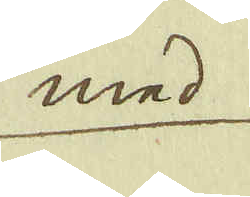med
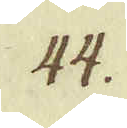44.
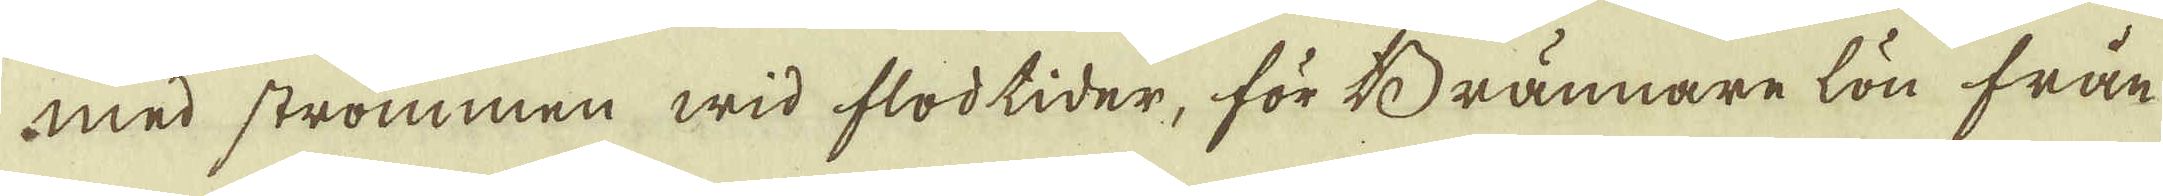med strömmen wid flodtider, för Brännare lön från
